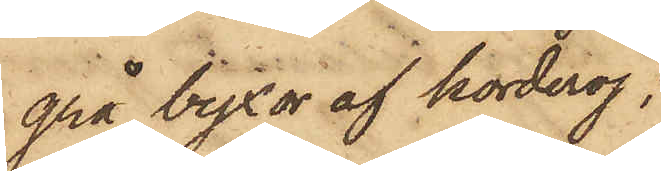grå byxor af korderoj;
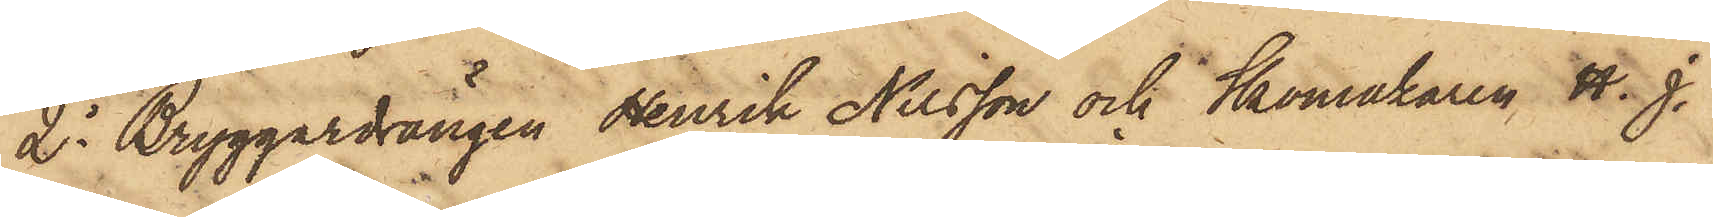2o Bryggardrängen Henrik Nilsson och Skomakaren H. J.
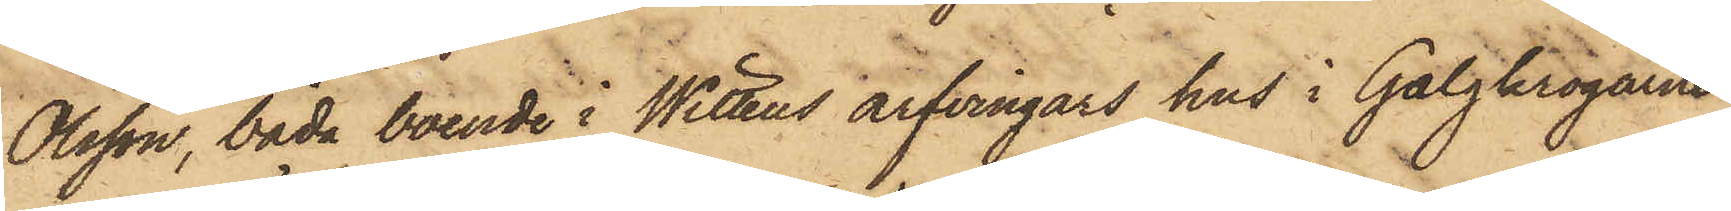Olsson, båda boende i Wittens arfvingars hus i Galgkrogarne
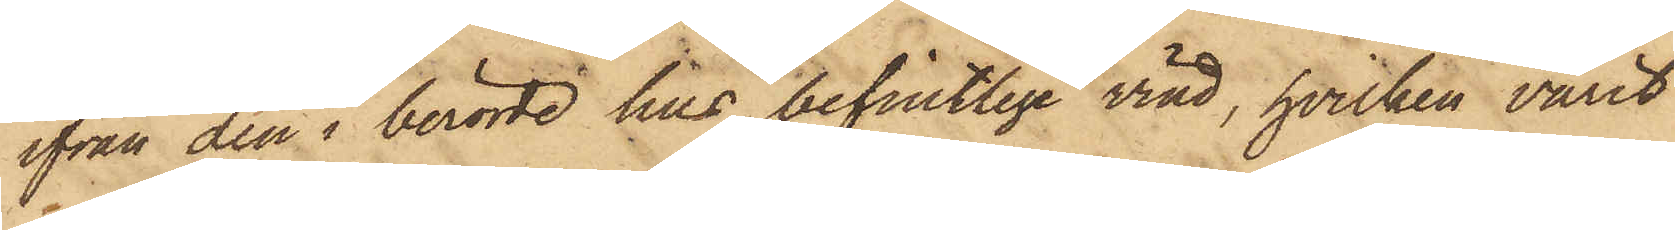ifrån den i berörde hus befintlige vind, hvilken varit
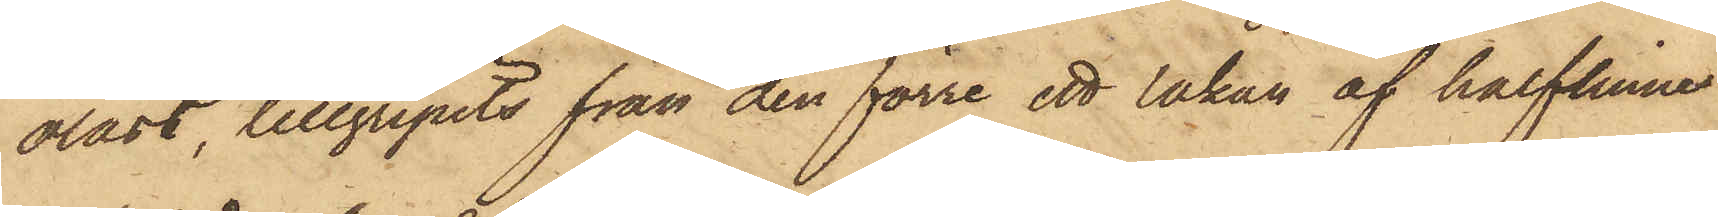olåst, tillgripits från den förre ett lakan af halflinne
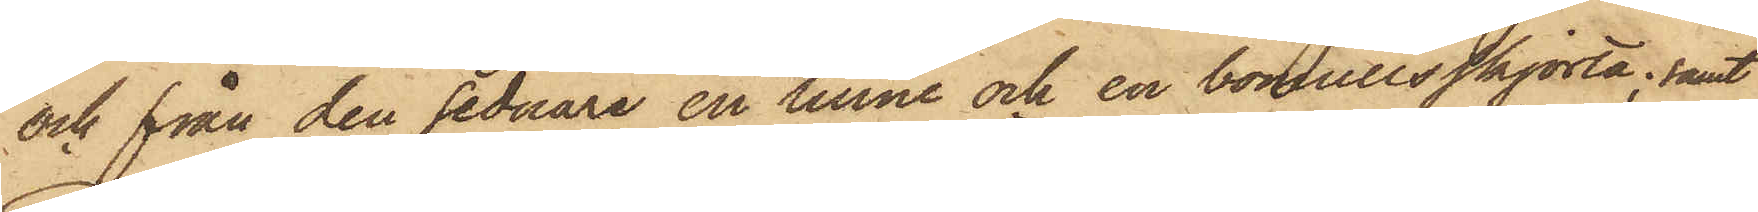och från den sednare en linne och en bomullsskjorta; samt
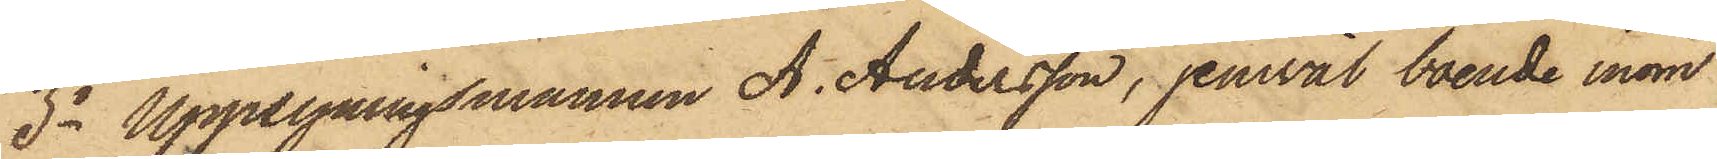3o Uppsyningsmannen A. Andersson, jemväl boende inom
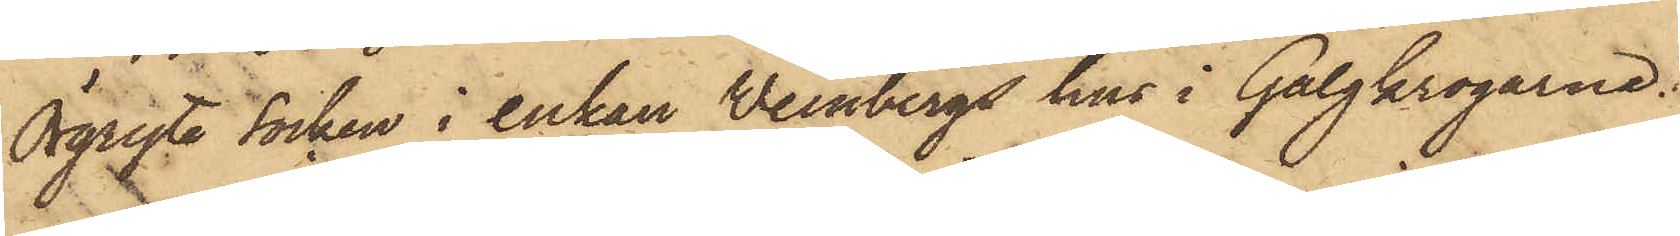Örgryte Socken i enkan Weinbergs hus i Galgkrogarne.
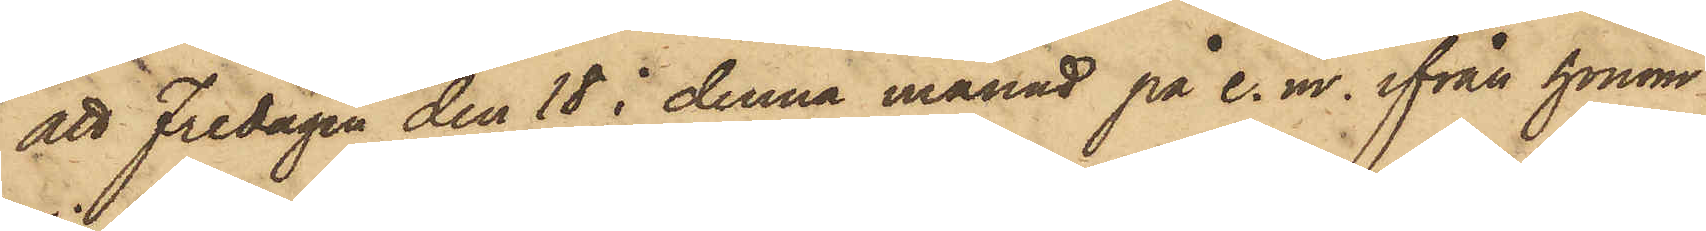att Fredagen den 18 i denna månad på e. m. ifrån honom
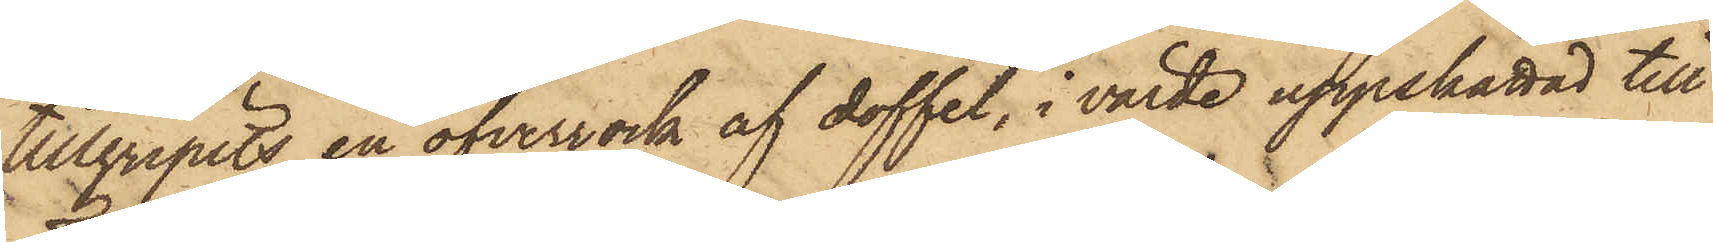tillgripits en öfverrock af doffel, i värde uppskattad till
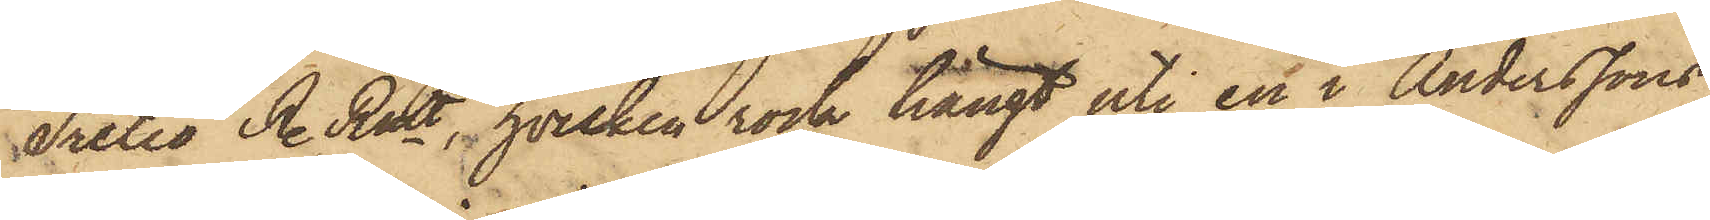Tretio R. Rmt, hvilken rock hängt uti en i Anderssons
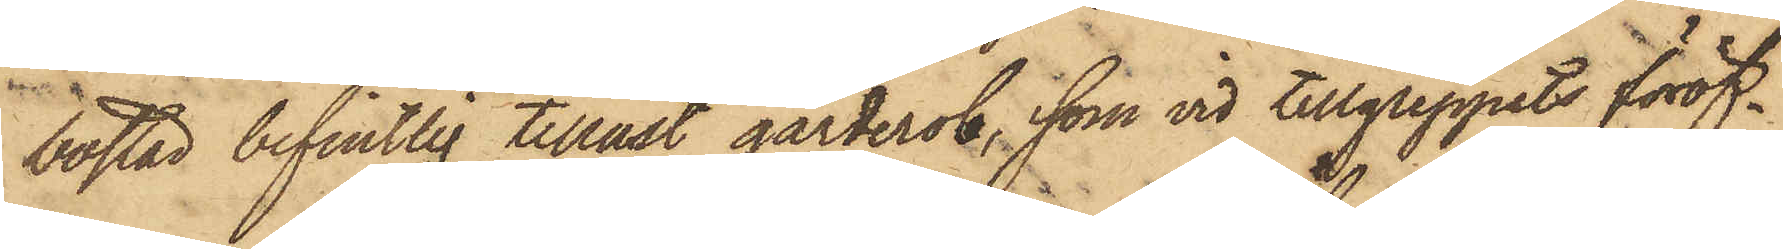bostad befintlig tillåst garderob, som vid tillgreppets föröf¬
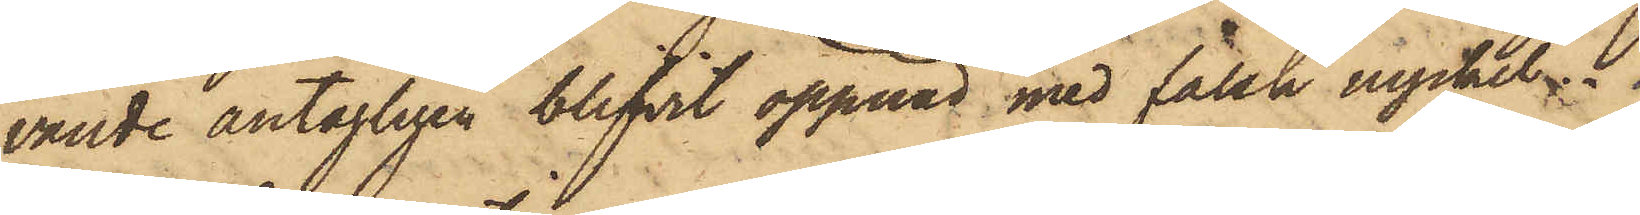vande antagligen blifvit öppnad med falsk nyckel.
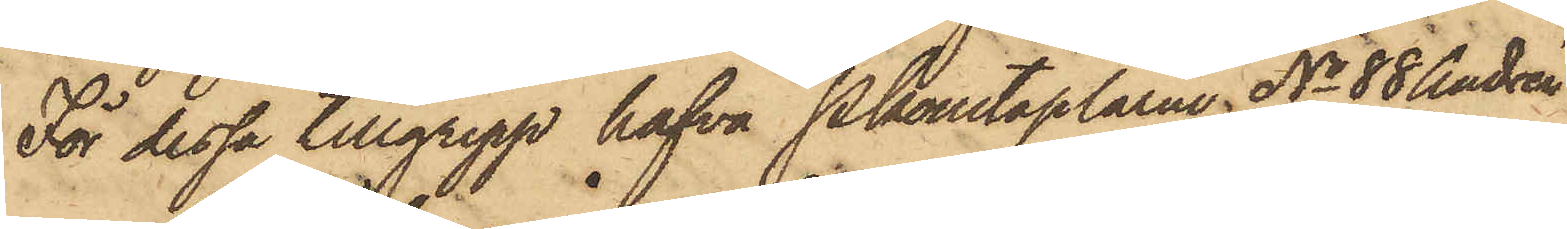För dessa tillgrepp hafva Pkonstaplarne No 88 Andrén
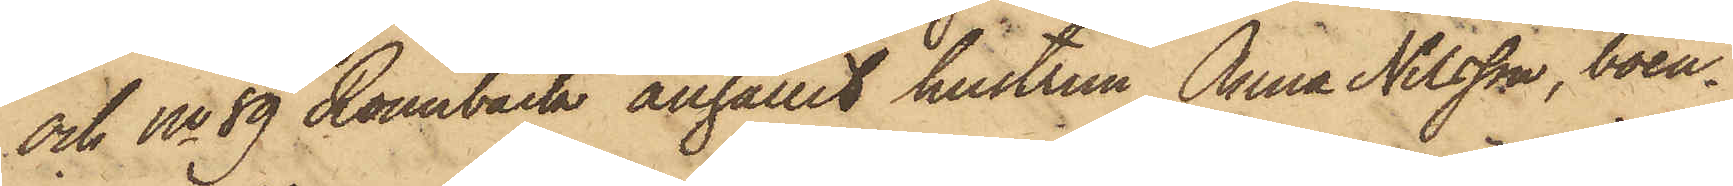och No 89 Rönnbäck anhållit hustrun Anna Nilsson, boen¬
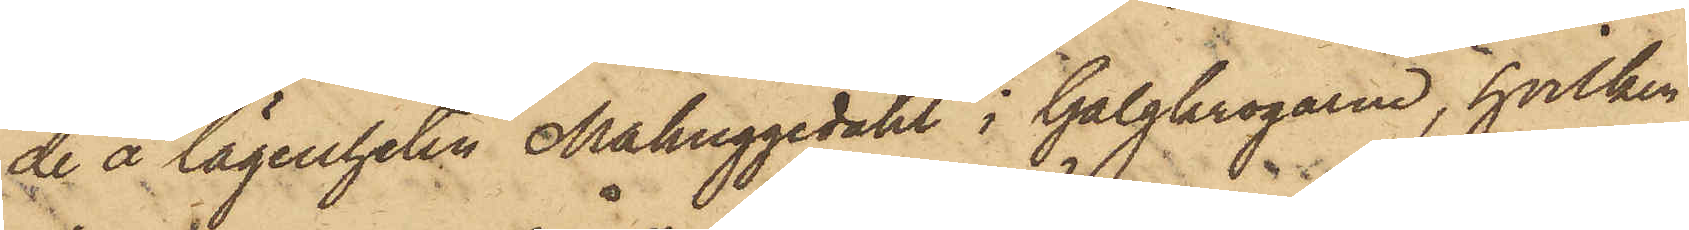de å lägenheten Mahuggedahl i Galgkrogarne, hvilken
